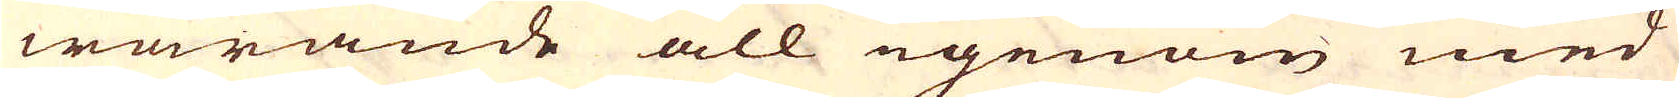warande all igenom med
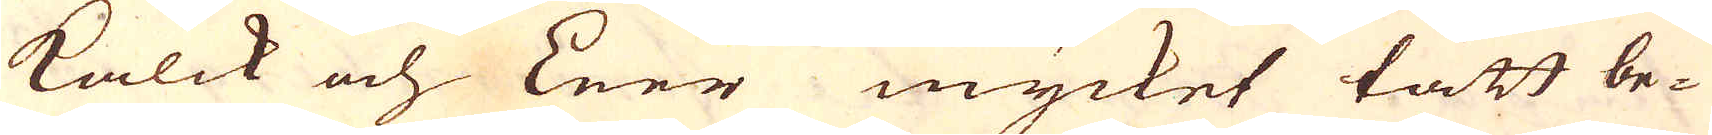Kalck och Leer mycket tätt be-
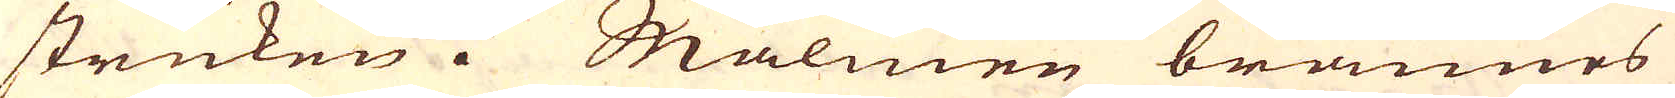struken. Malmen brännes
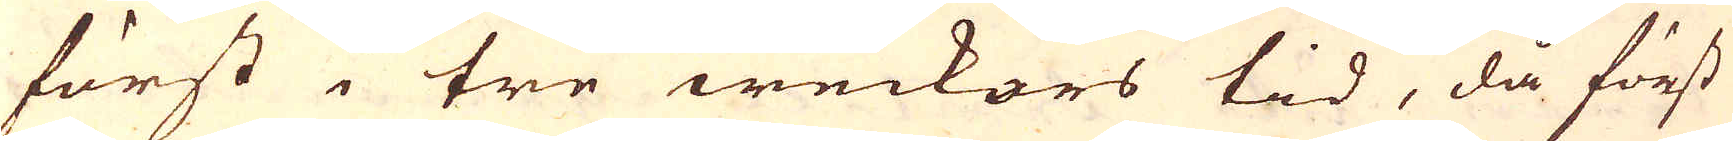först i tre weckors tid, då först
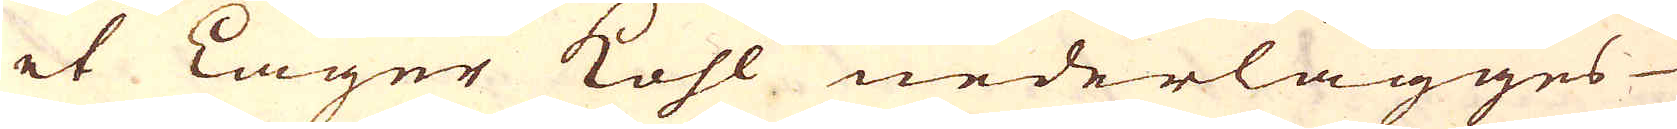et Lager Kohl nederlägges
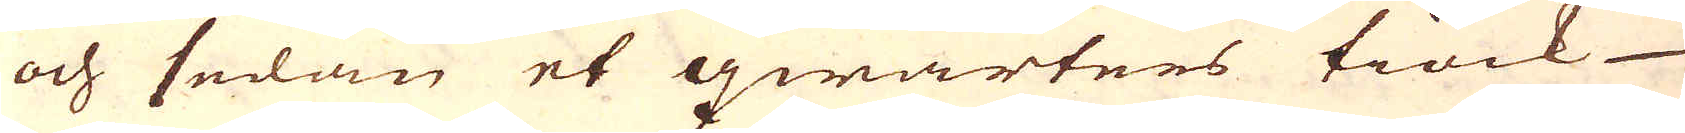och sedan et qwarters tiock
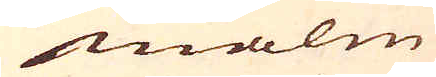malm
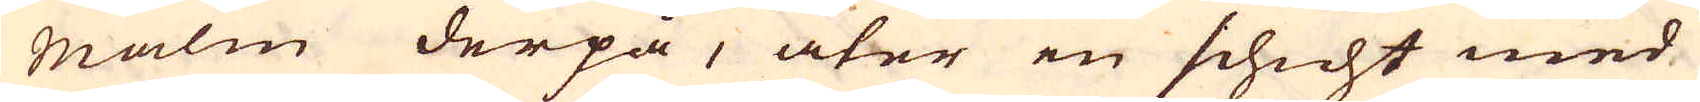malm derpå, åter en schicht med
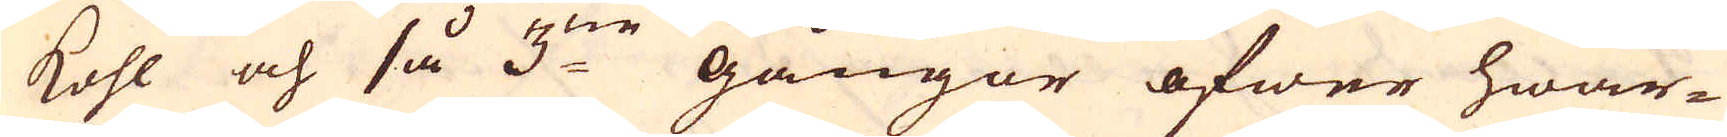Kohl och så 3:ne gångor öfwer hwar-
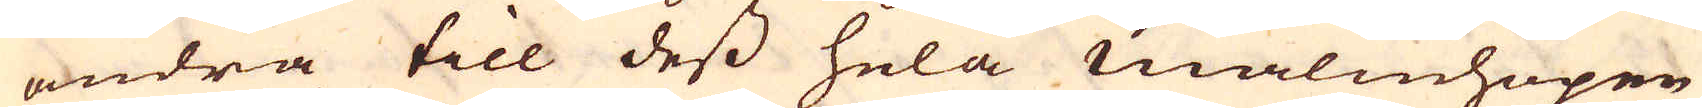andra till dess hela malmhopen
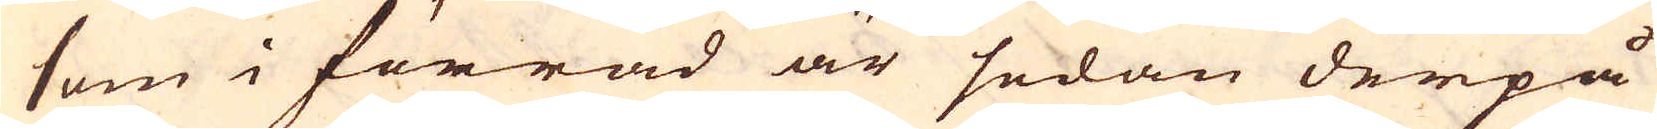som i förråd är sedan derpå
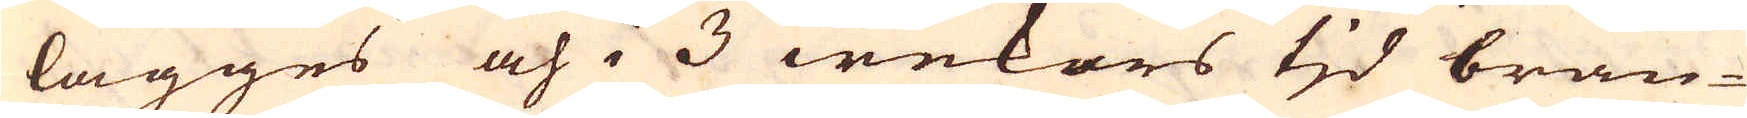lägges och i 3 wekors tjd brän-
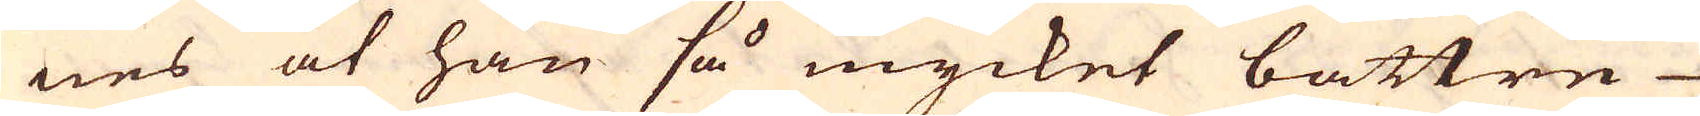nes at han så mycket bättre
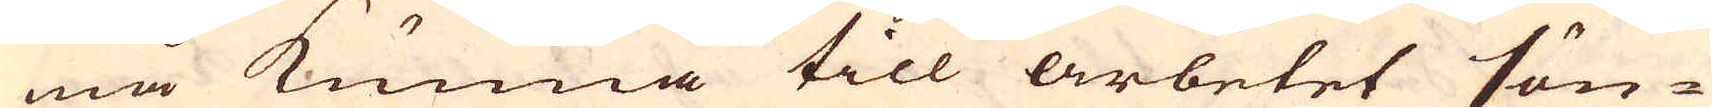må kunna till arbetet sön-
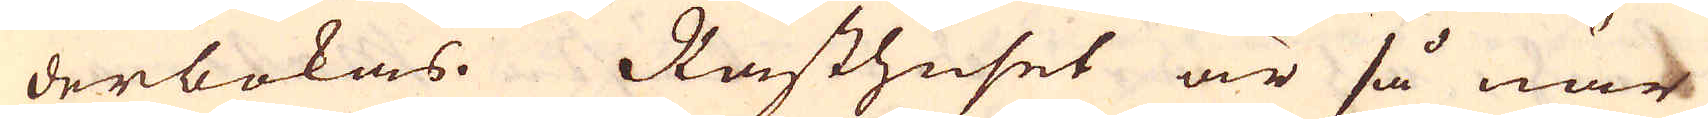derbokas. Råsthuset är så när
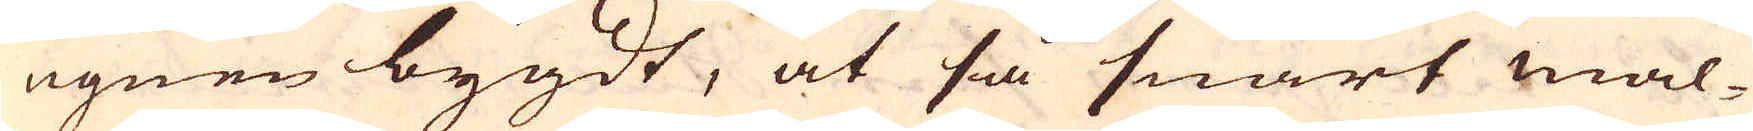ugnen bygdt, at så snart mal-
